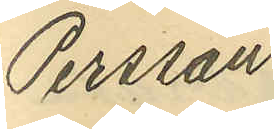Persson
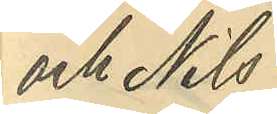och Nils
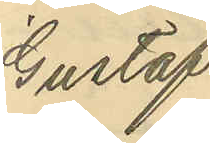Gustaf
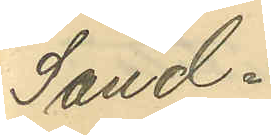Sand¬
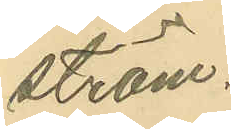ström.
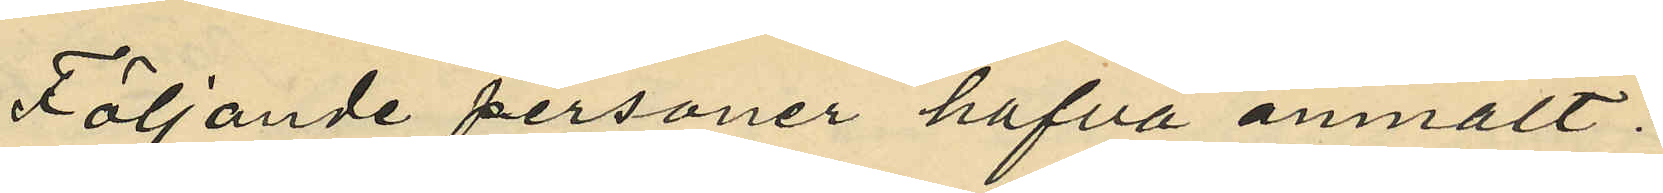Följande personer hafva anmält:
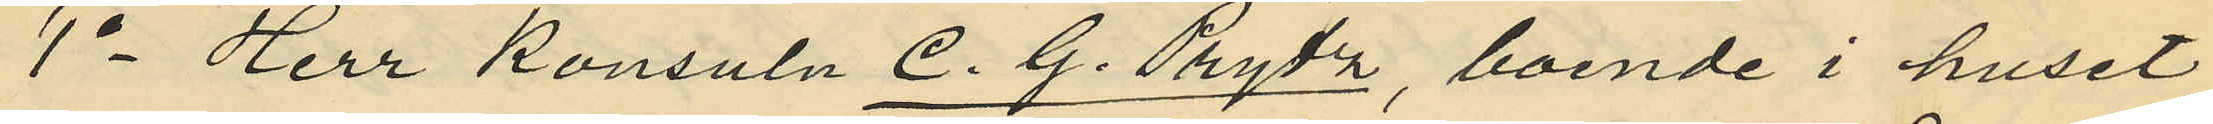1o Herr Konsuln C. G. Prytz, boende i huset
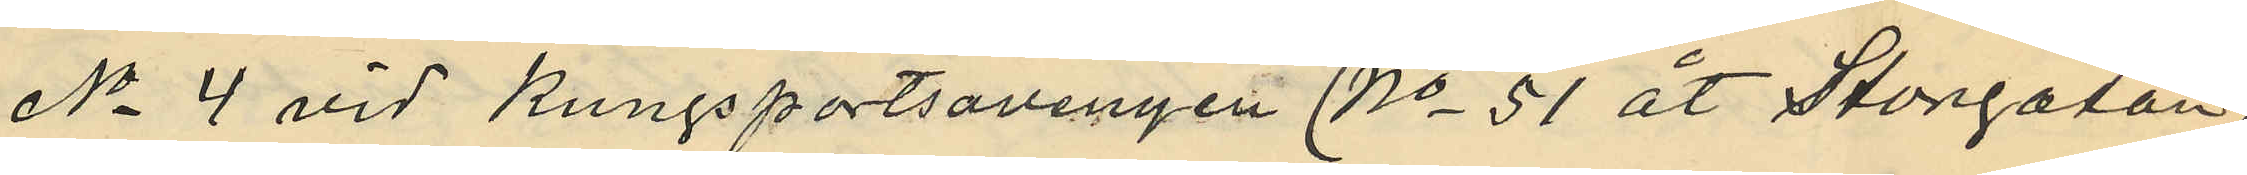No 4 vid Kungsportsavenyen (No 51 åt Storgatan),
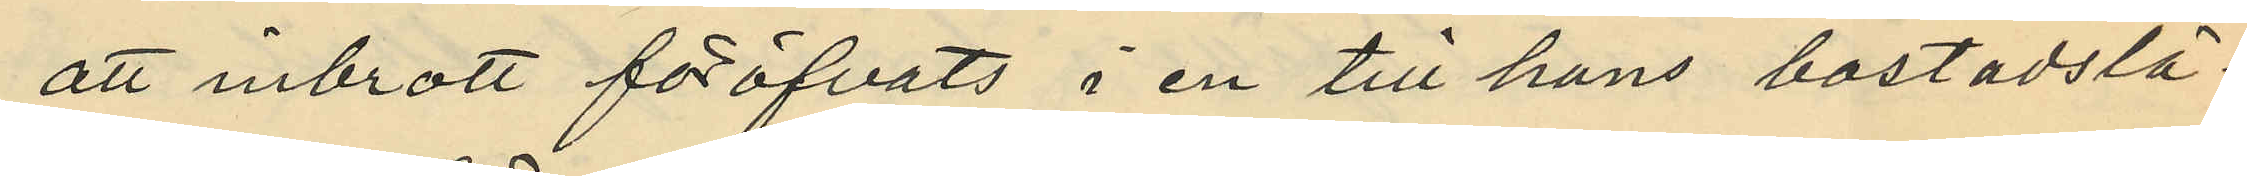att inbrott föröfvats i en till hans bostadslä¬
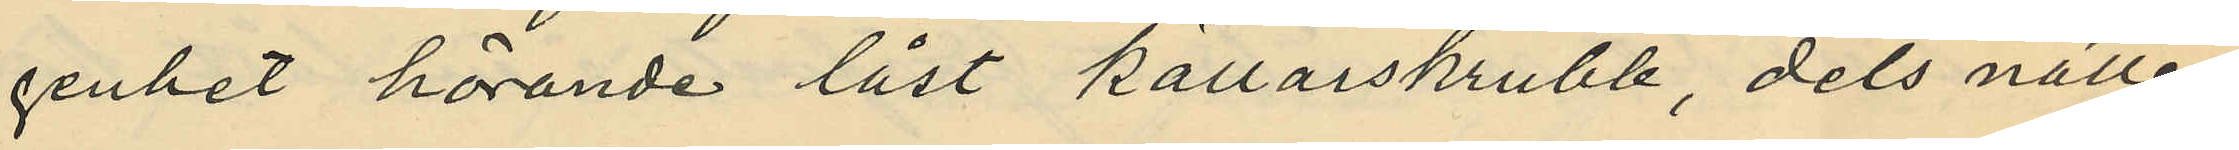genhet hörande låst källarskrubb, dels natten
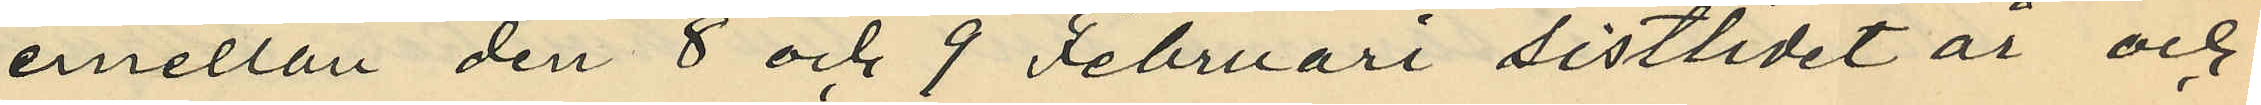emellan den 8 och 9 Februari sistlidet år och
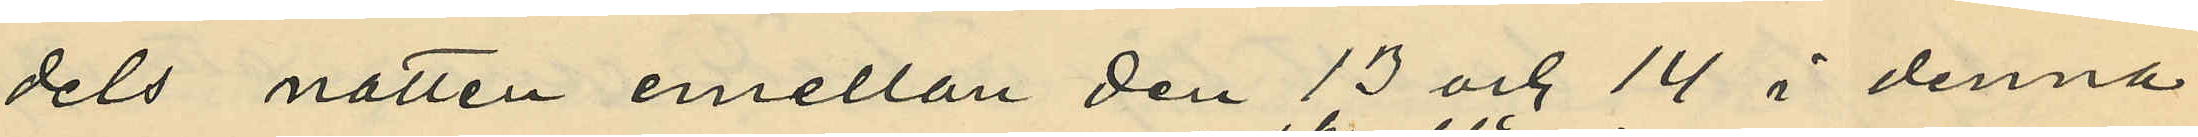dels natten emellan den 13 och 14 i denna
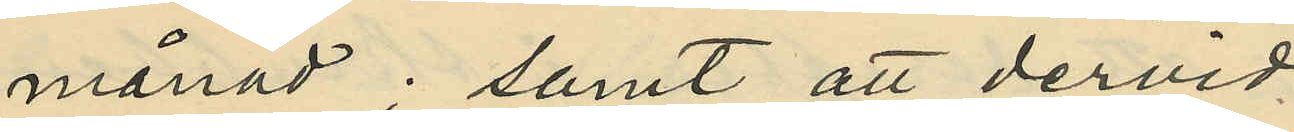månad; samt att dervid
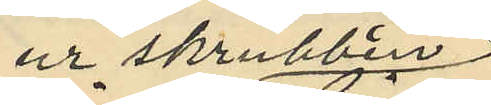ur skrubbern
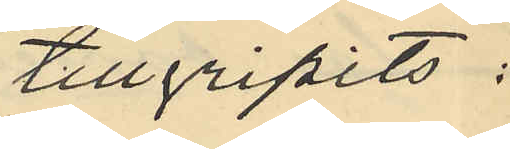tillgripits:
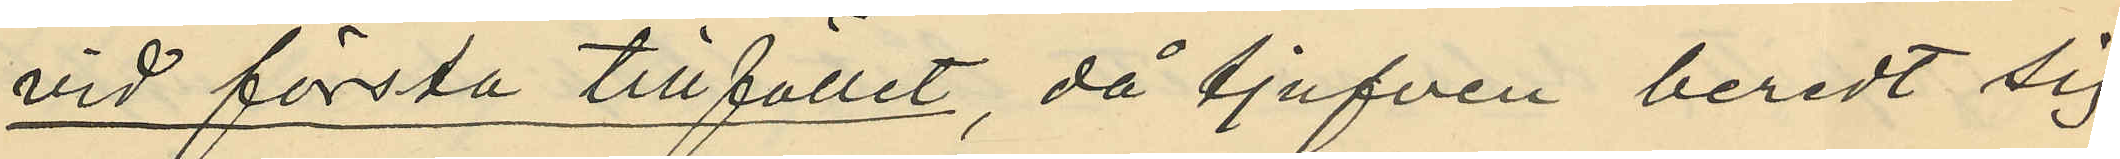vid första tillfället, då tjufven beredt sig
